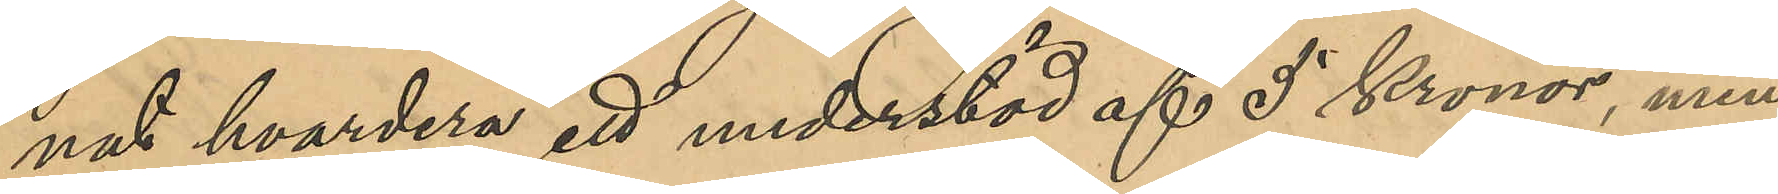nat hvardera ett understöd af 5 Kronor, men
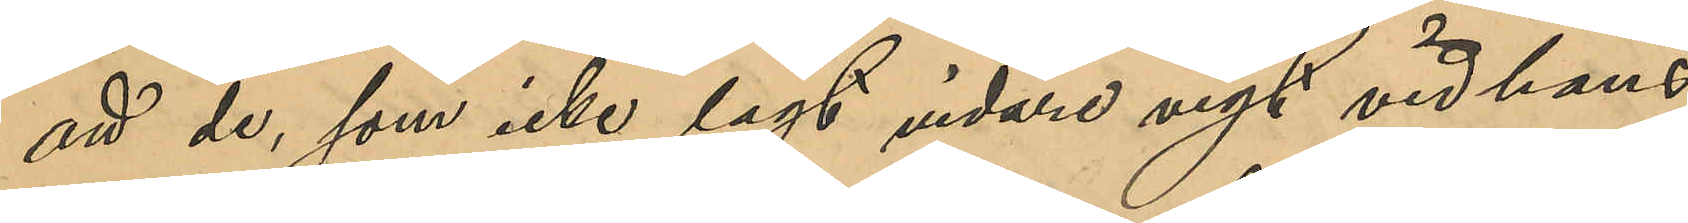att de, som icke lagt vidare vigt vid hans
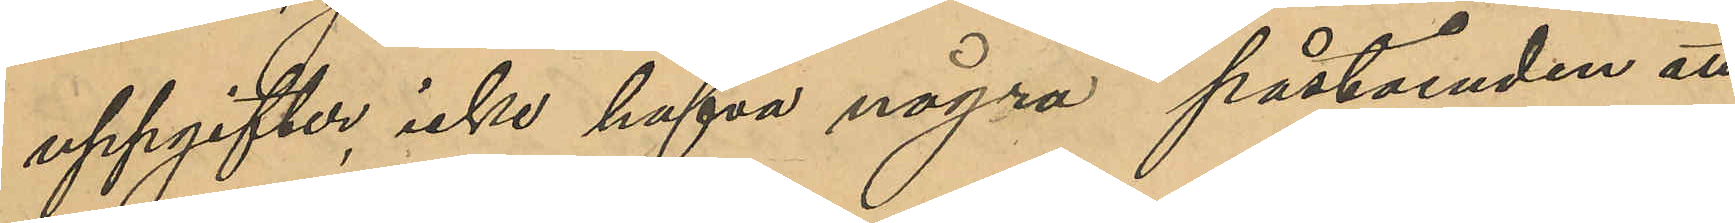uppgifter, icke hafva några påståenden att
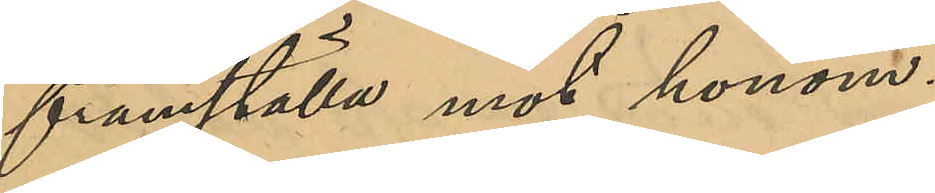framställa mot honom.
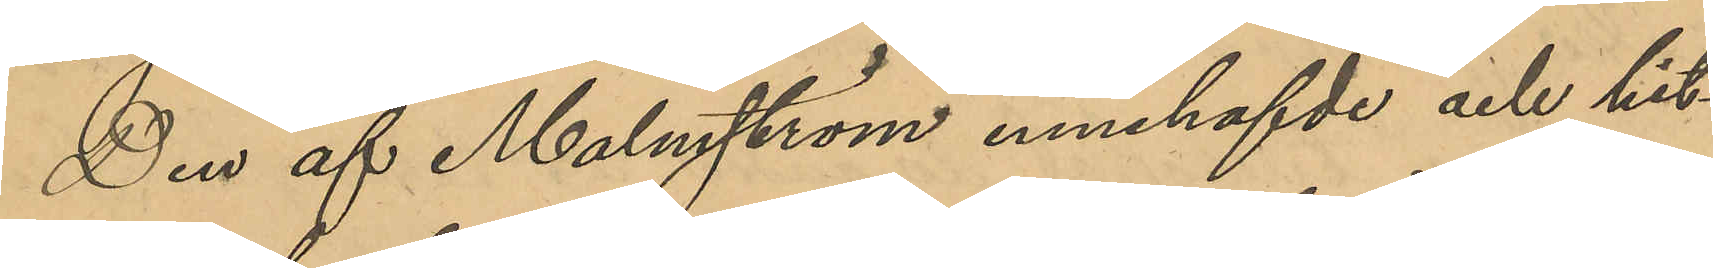Den af Malmström innehafvde och hit¬
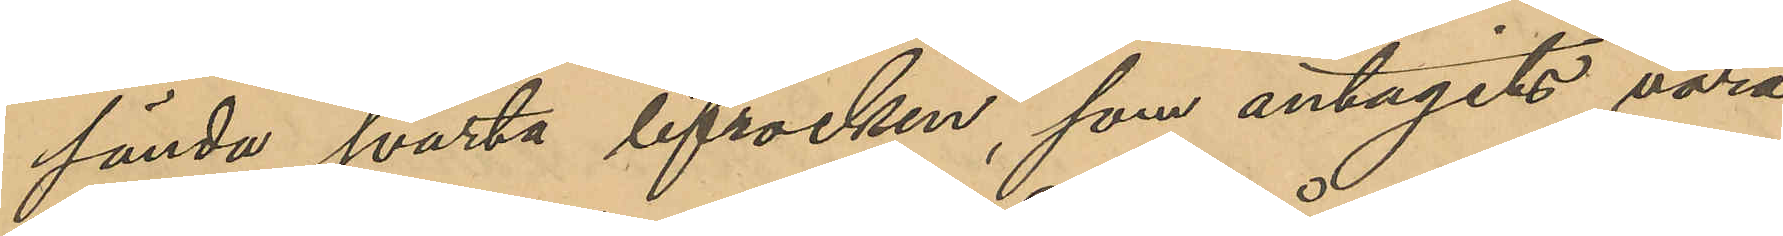förde svarta lifrock, som antagits vara
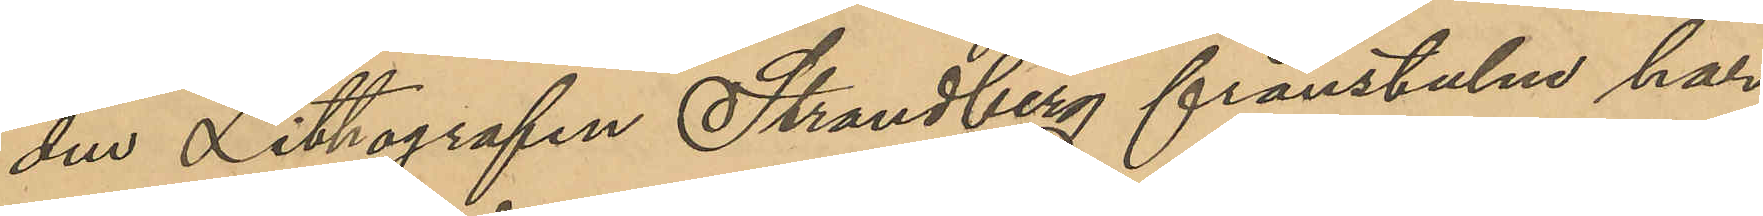den Lithografen Strandberg frånstulne har
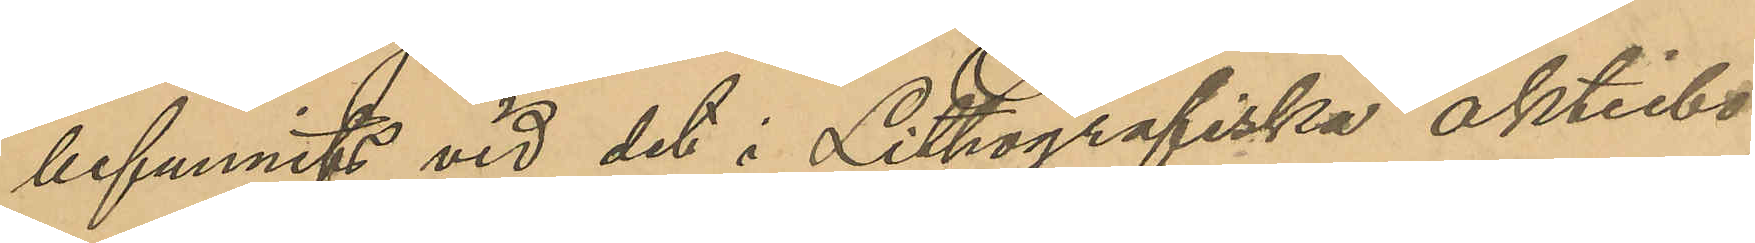befunnits vid det i Lithografiska aktiebo¬
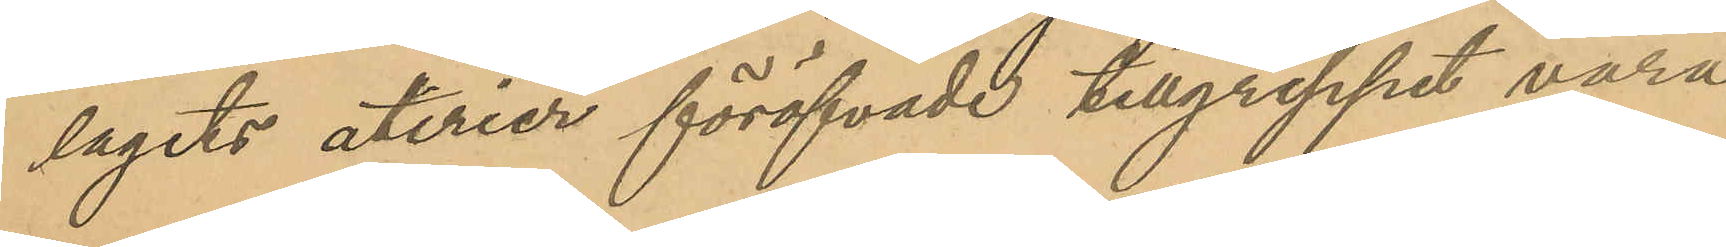lagets aterier föröfvade tillgreppet vara
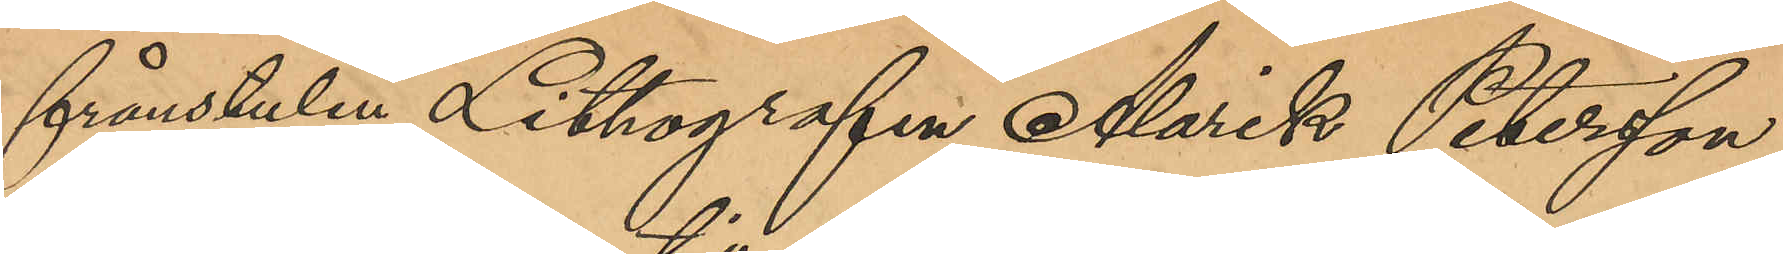frånstulen Lithografen Alarik Peterson,
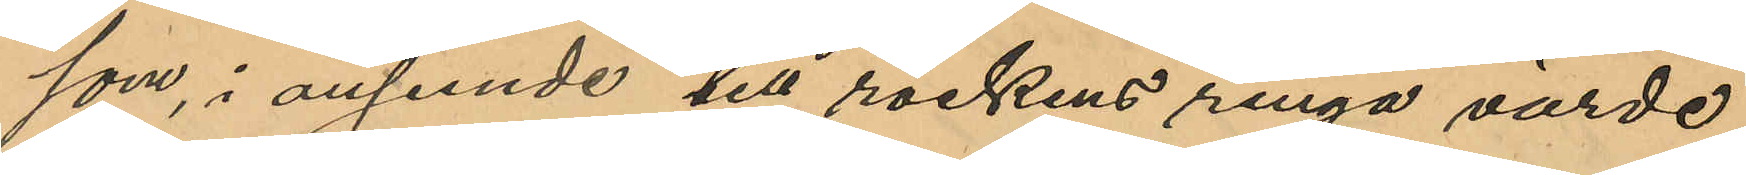som, i anseende till rockens ringa värde,
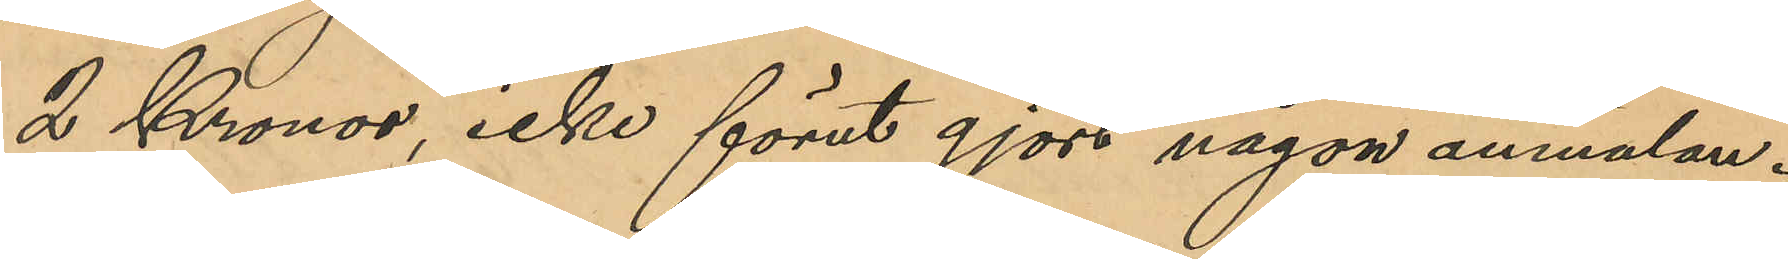2 Kronor, icke förut gjort någon anmälan.
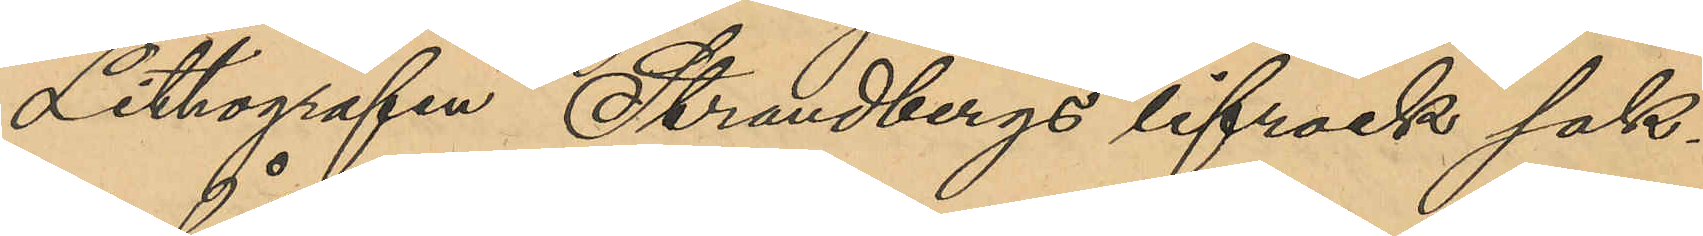Lithografen Strandbergs lifrock sak¬
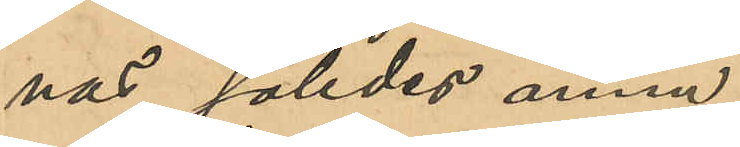nas således ännu.
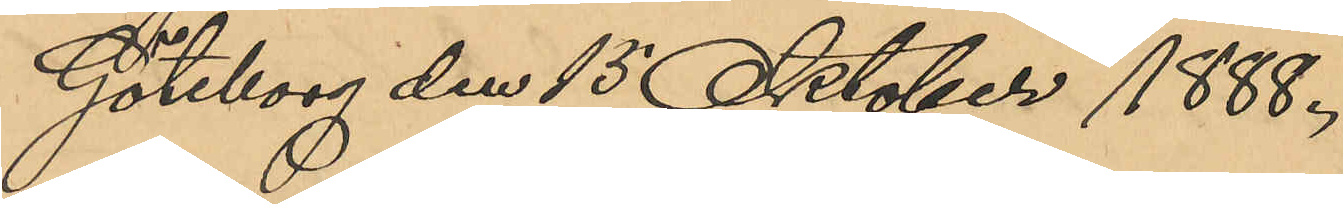Göteborg den 15 Oktober 1888.
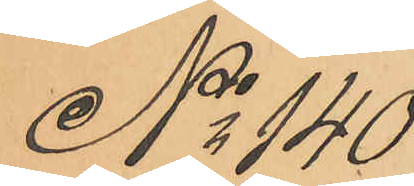No 140
